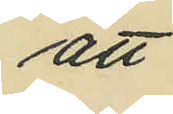att
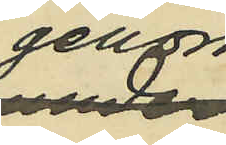genom
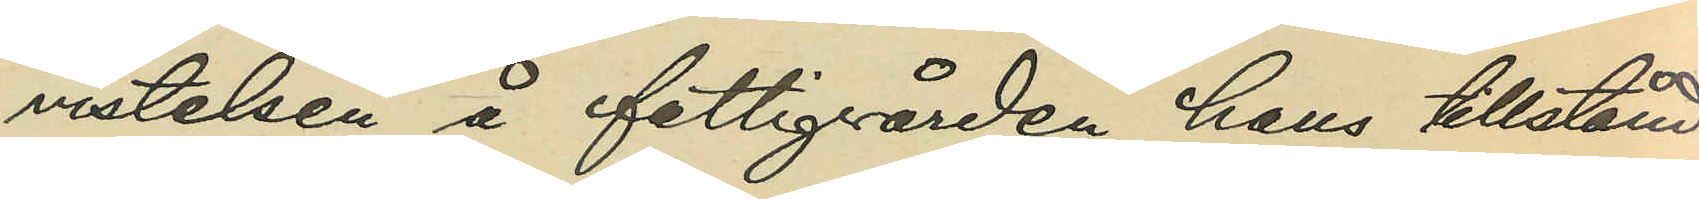vistelsen å fattigvården hans tillstånd
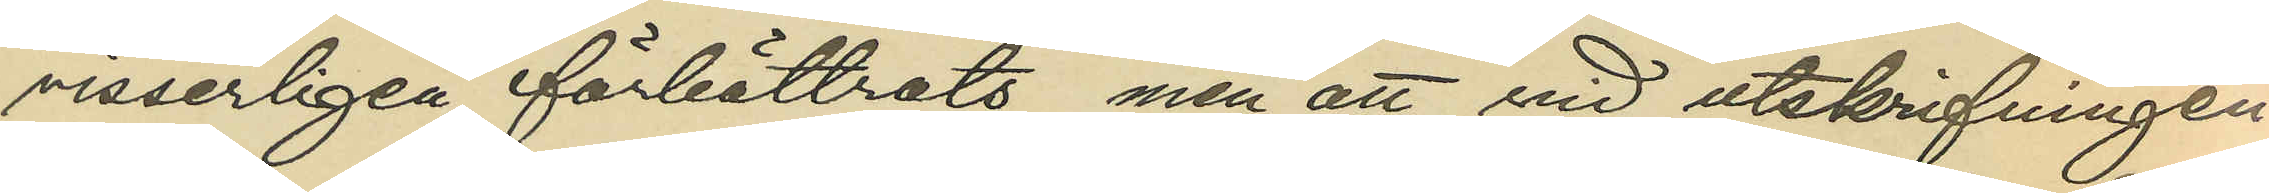visserligen förbättrats men att vid utskrifningen
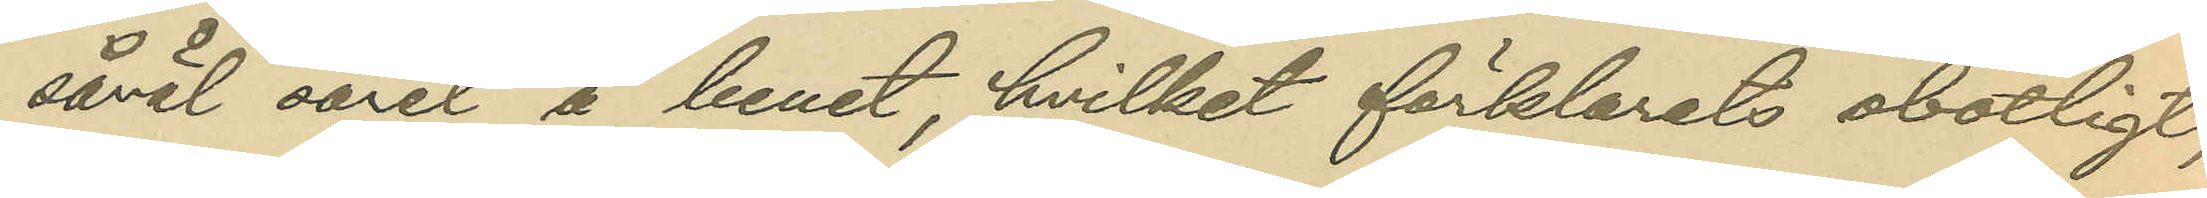såväl såret å benet, hvilket förklarats obotligt,
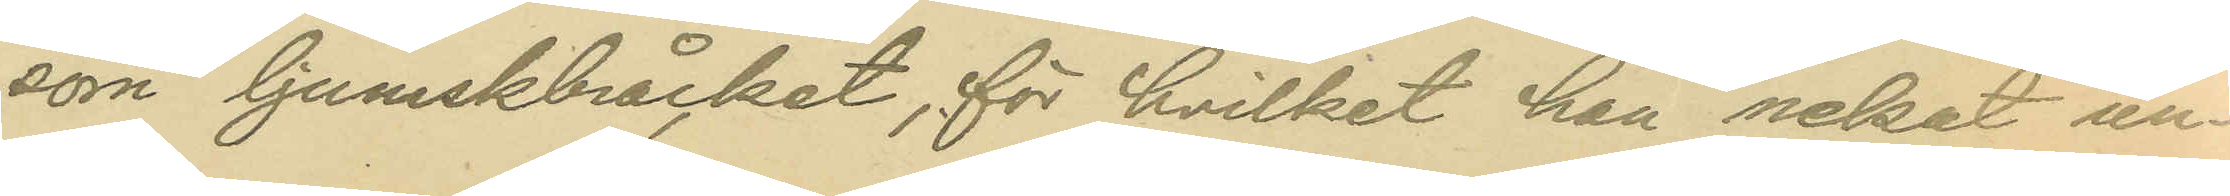som ljumskbråcket, för hvilket han nekat un¬
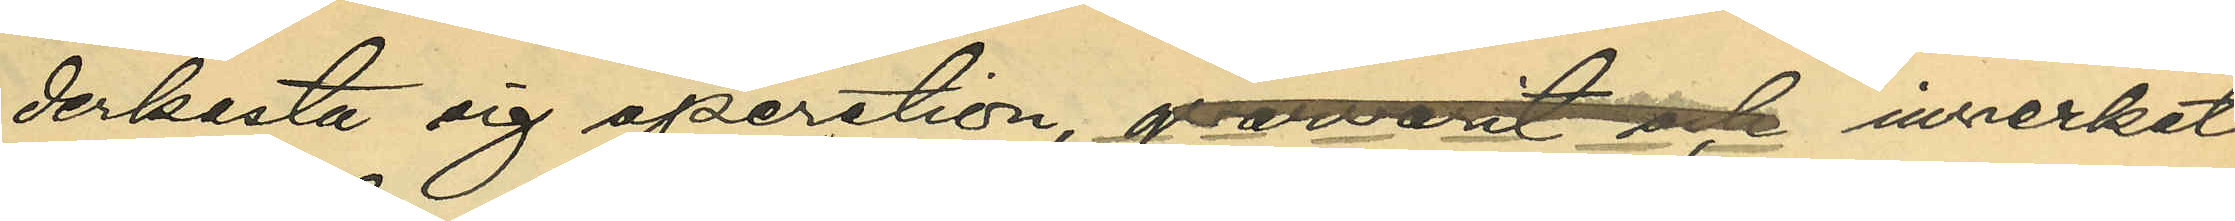derkasta sig operation, qvarvarit och inverkat
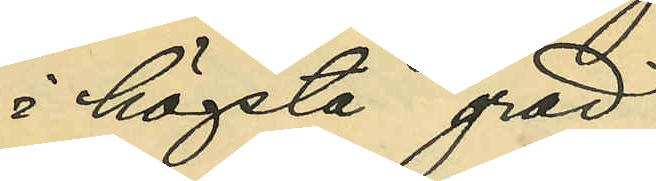i högsta grad
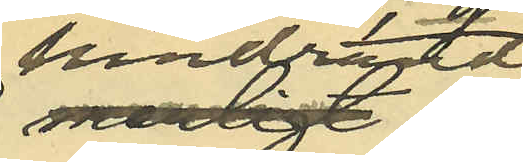hindrande
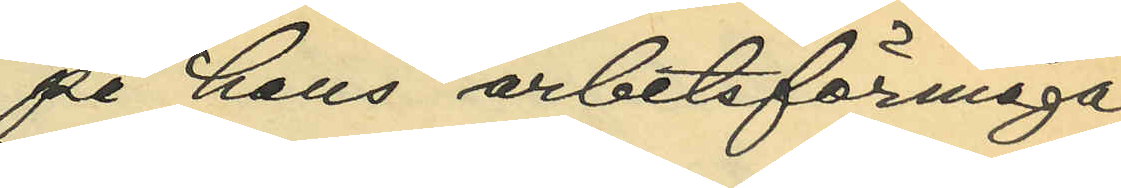på hans arbetsförmåga;
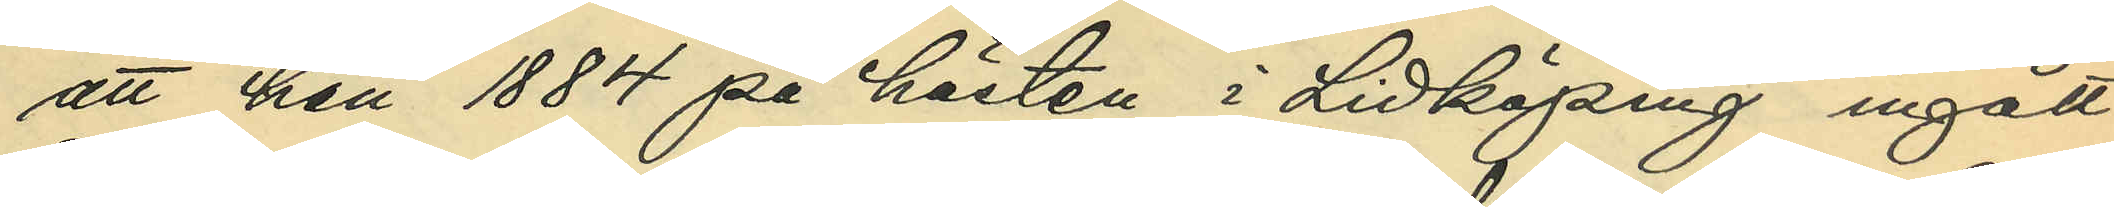att han 1884 på hösten i Lidköping ingått
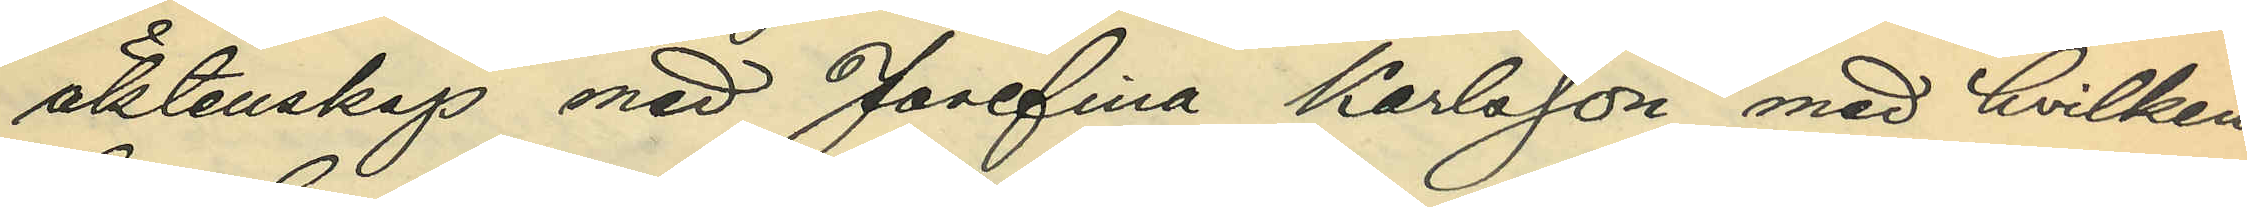äktenskap med Josefina Karlsson med hvilken
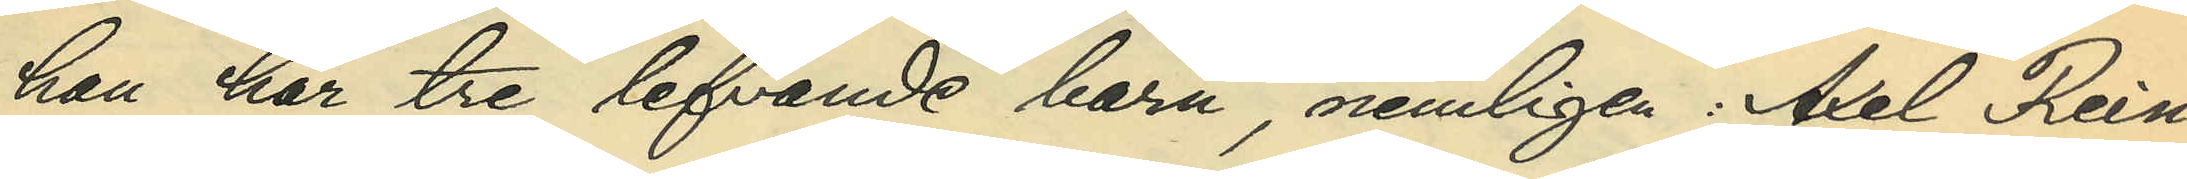han har tre lefvande barn, nemligen Axel Rein¬
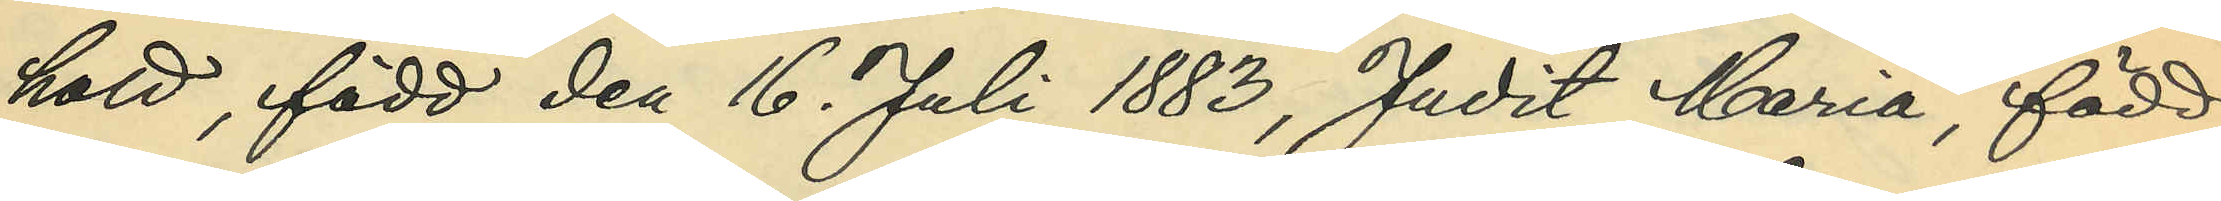hold, född den 16. Juli 1883, Judit Maria, född
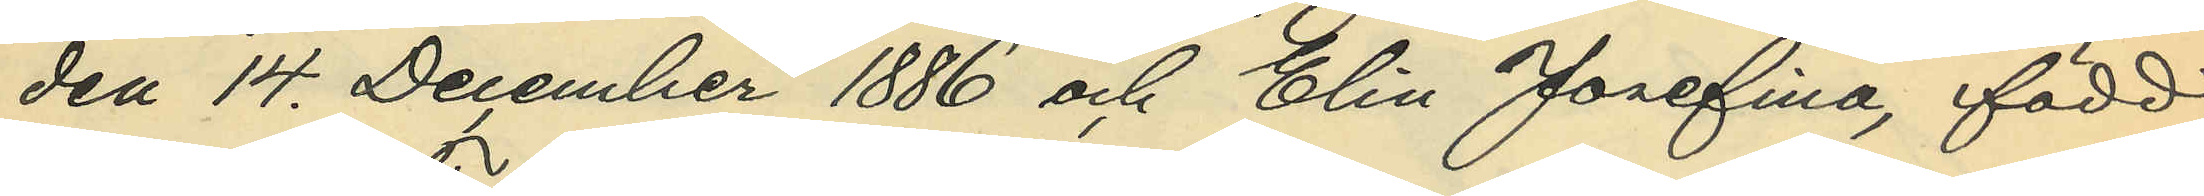den 14. December 1886 och Elin Josefina, född
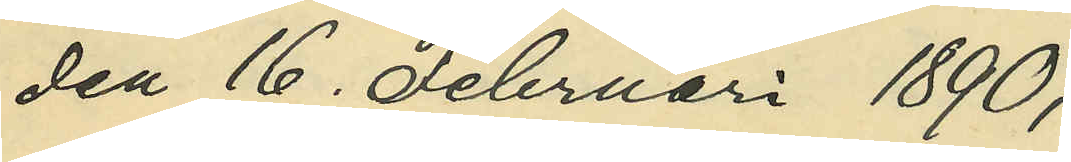den 16. Februari 1890;
